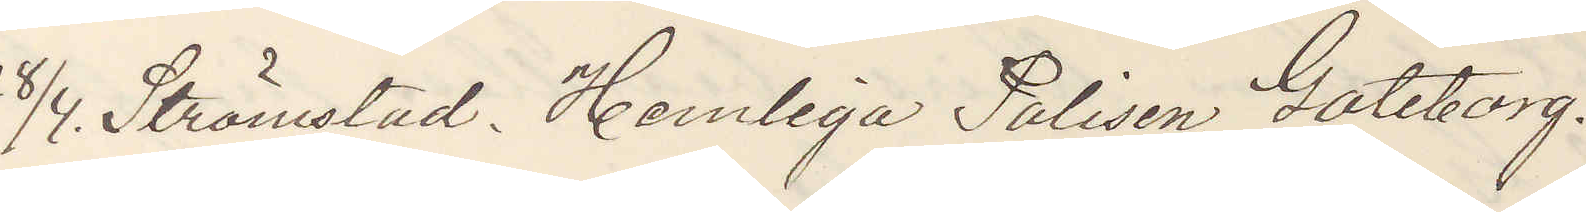28/4. Strömstad. Hemliga Polisen Göteborg.
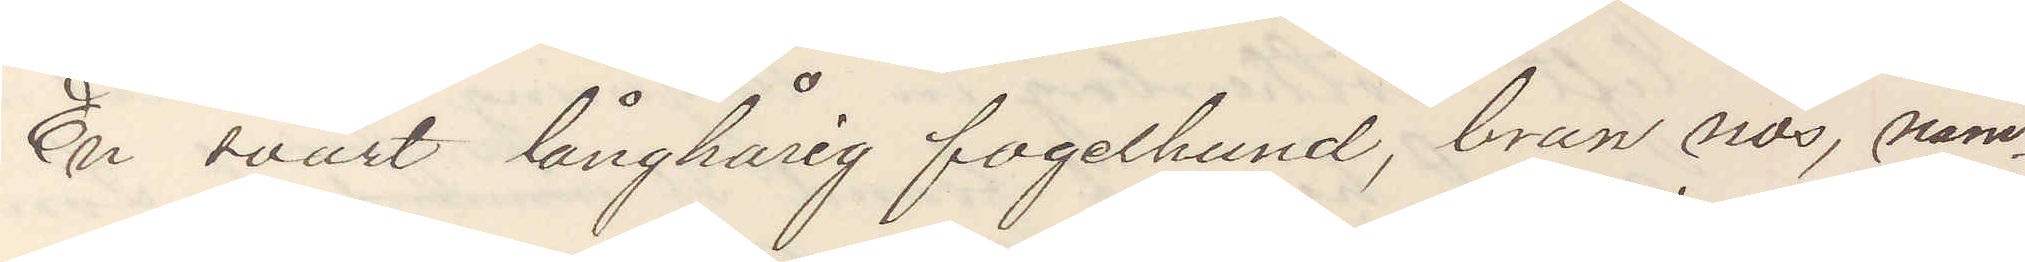En svart långhårig fogelhund, brun nos, nam¬
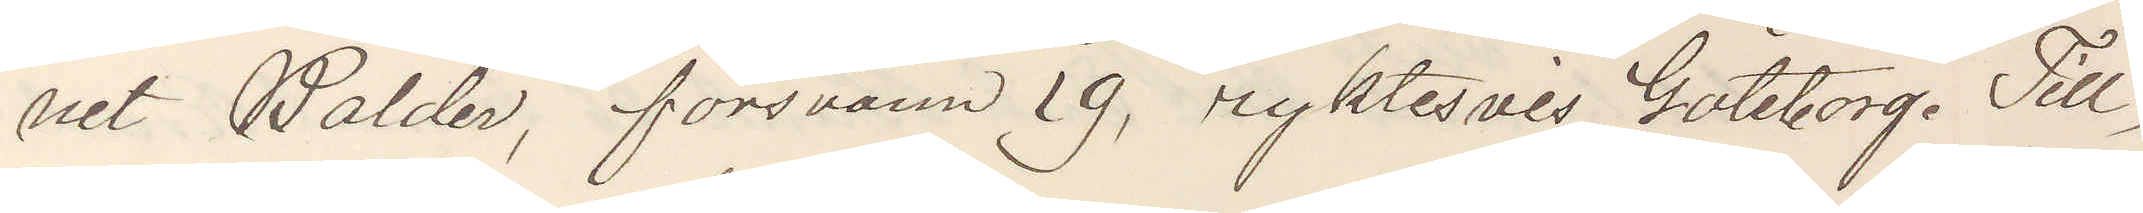net Balder, försvann 19, ryktesvis Göteborg. Till¬
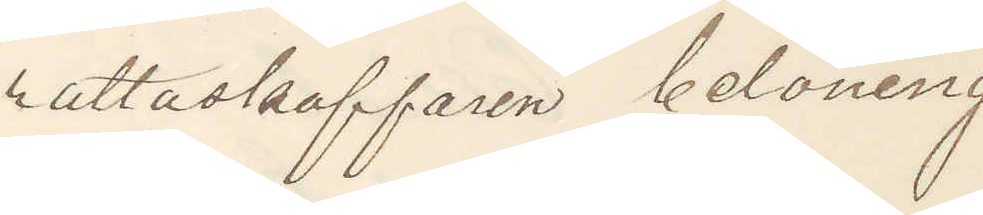rattaskaffaren belöning
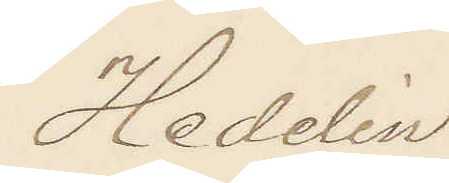Hedelin
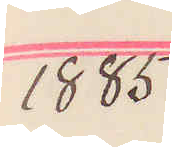1885
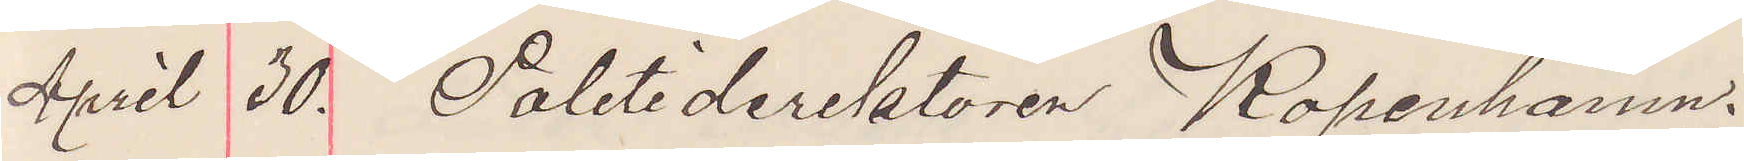April 30. Politidirektören Köpenhamn.
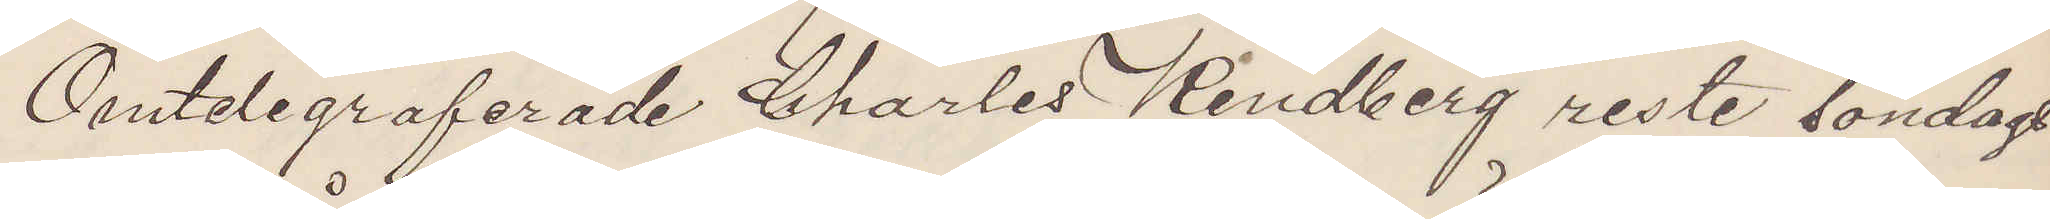Omtelegraferade Charles Kindberg reste lördags
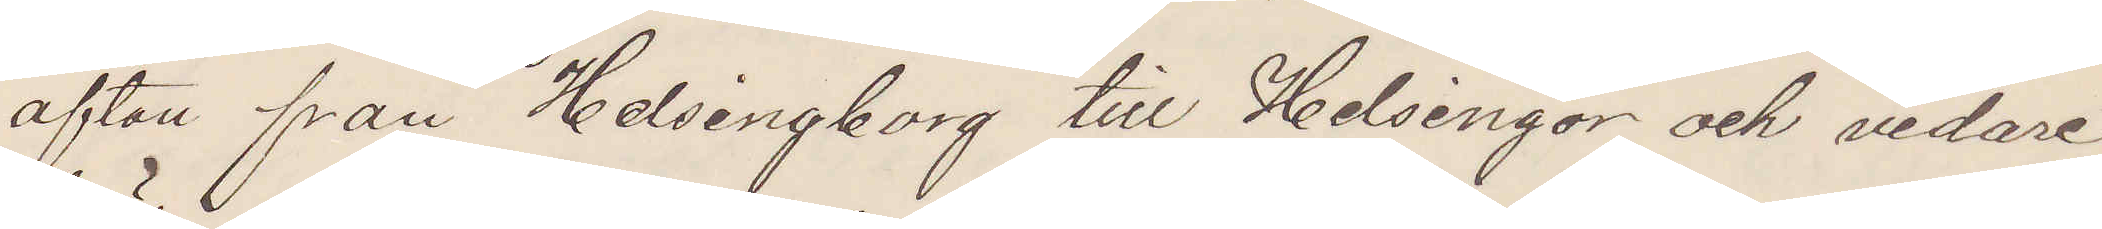afton från Helsingborg till Helsingör och vidare
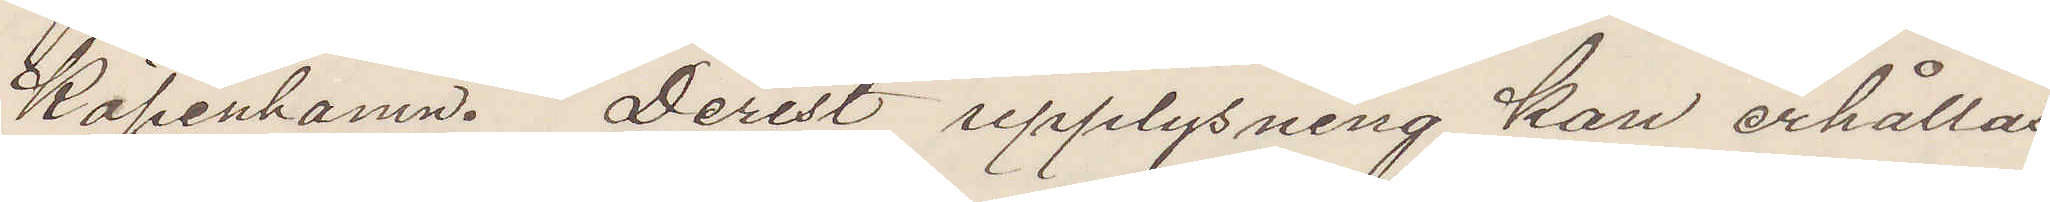Köpenhamn. Derest upplysning kan erhållas
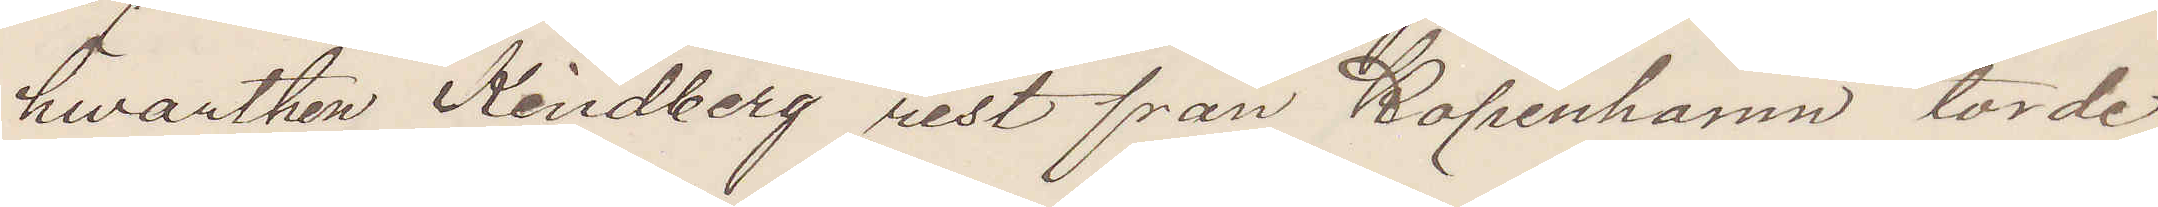hvarthen Kindberg rest från Köpenhamn torde
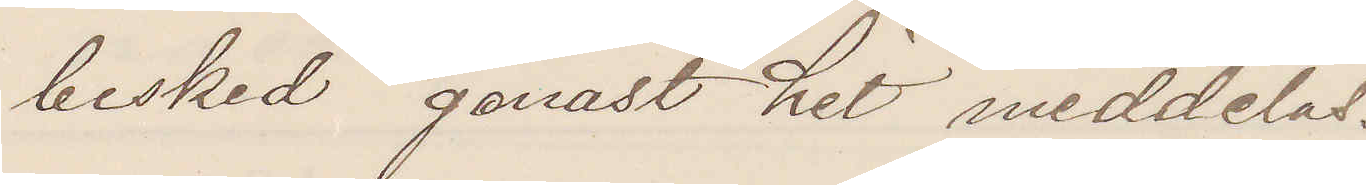besked genast hit meddelas.
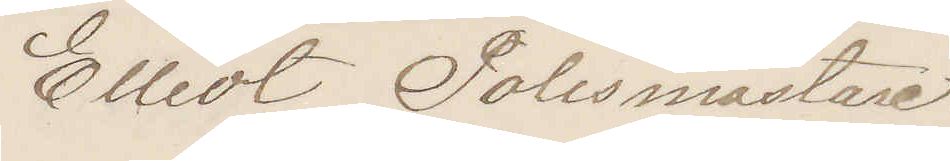Elliot Polismästare.
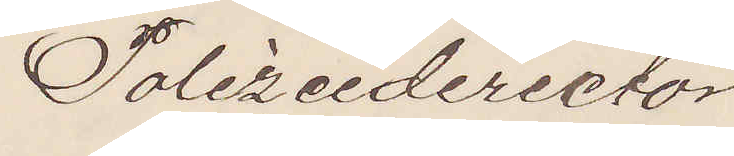Polizeidirector
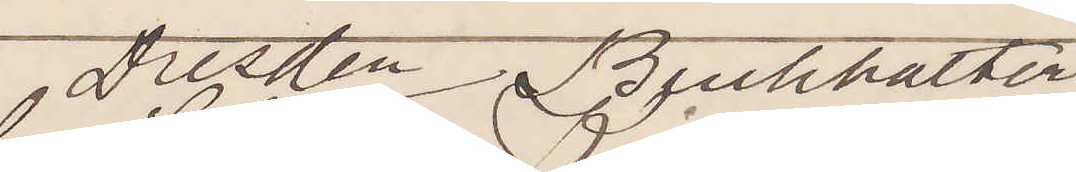Dresden Buchhalter
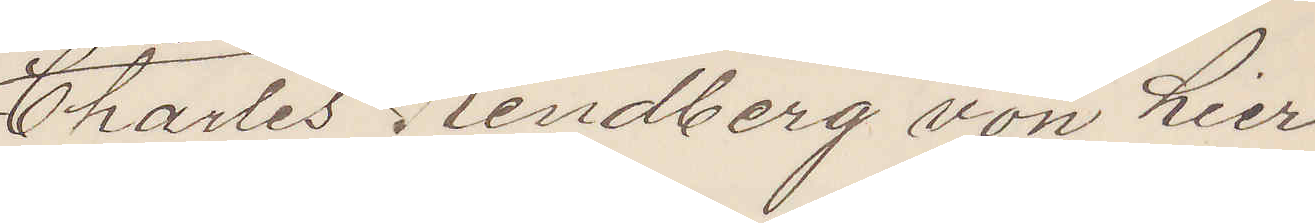Charles Kindberg von hier
